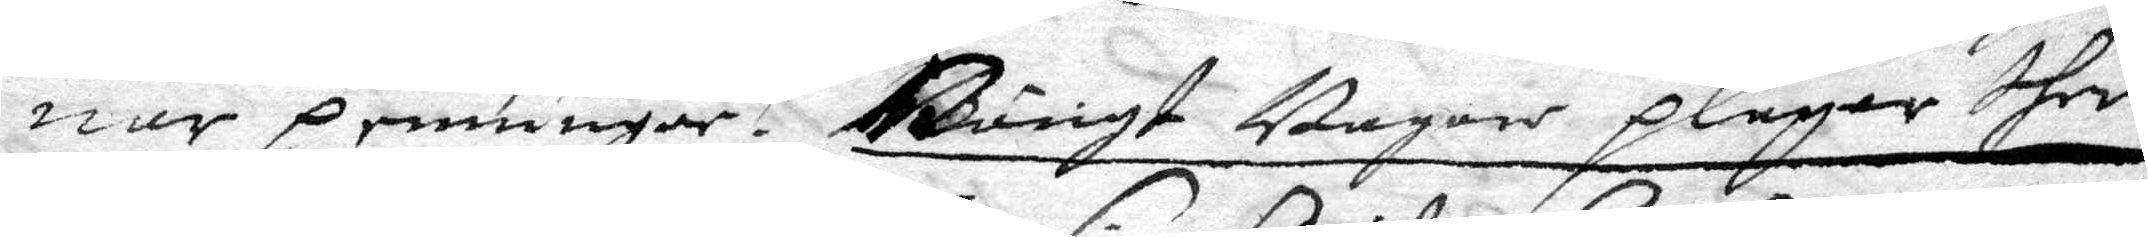nar penningar. Bängt Bagare pläger dher
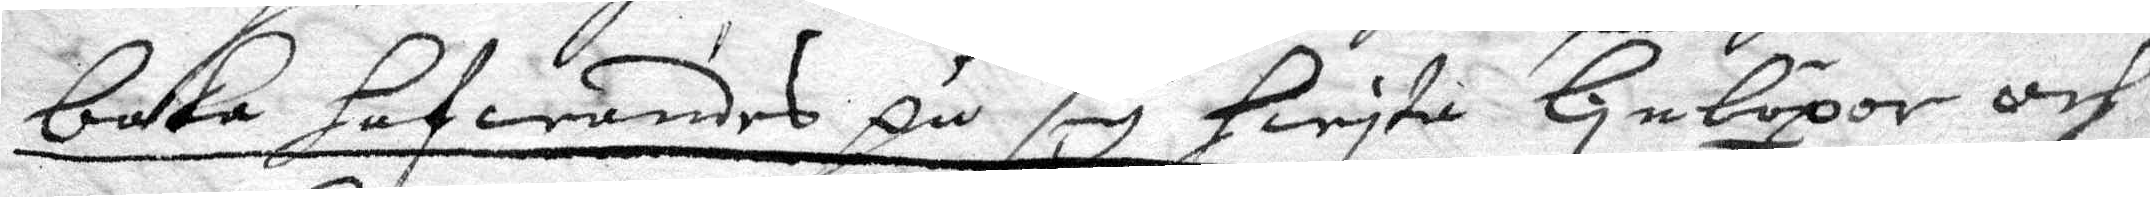baka hafwandes på sig hwyta linböxor och
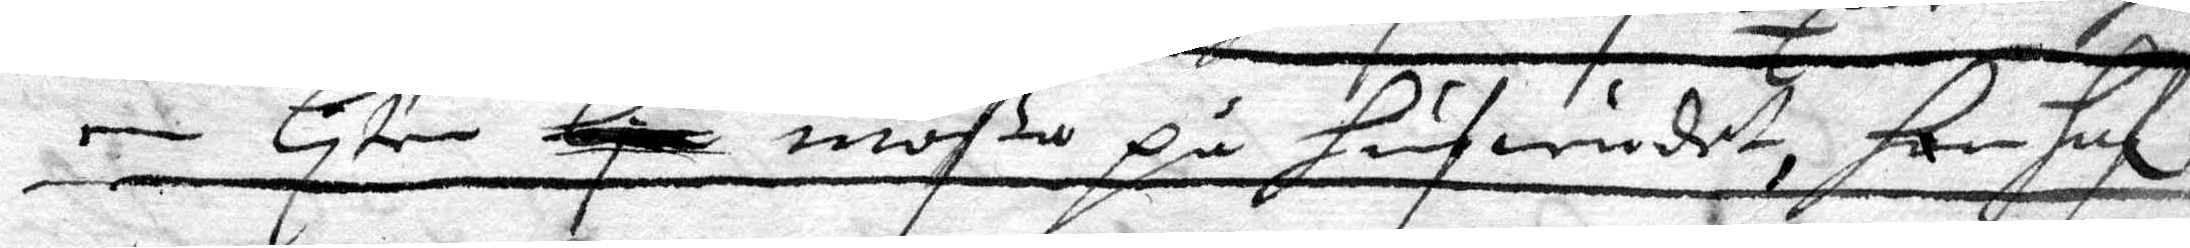en liten liten mößa på hufwudet, han haf.
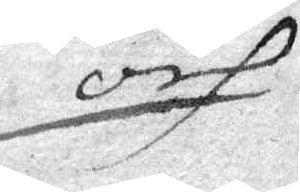och
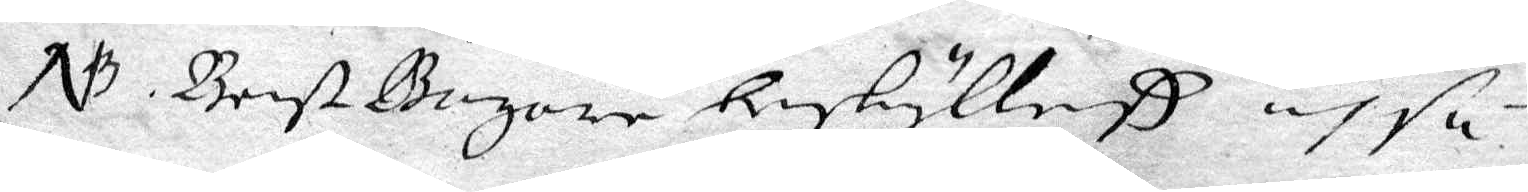NB. Bengt Bagare beskylleß ohså
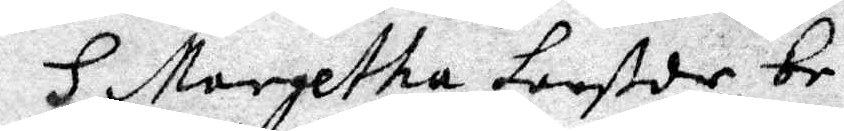H Margetha Larß dr be¬
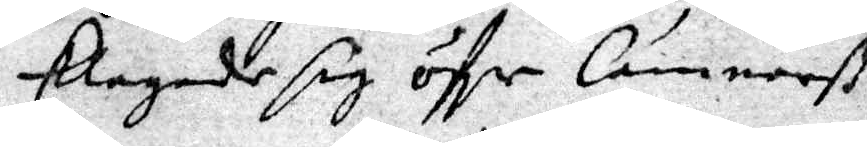klagade sig öfer Cämnarß
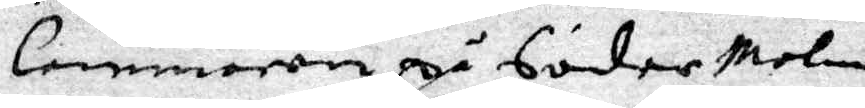Cammaren på Söder Malm
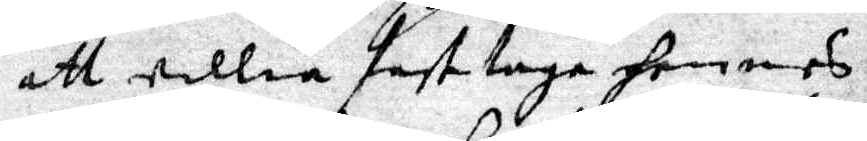att willia fast taga hennes
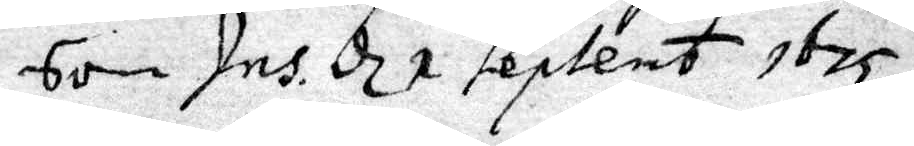Son Ins. d 2 Septemb 1675
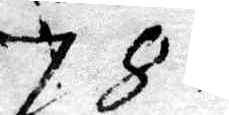78.
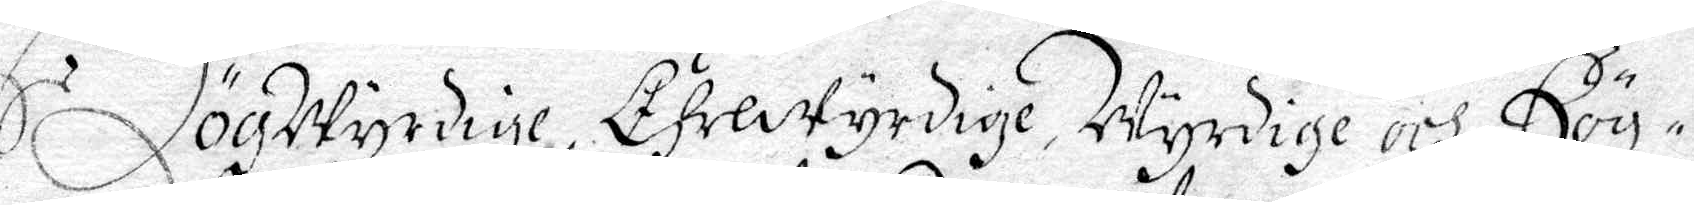HögWyrdige, Ährewyrdige Wyrdige och Hög¬
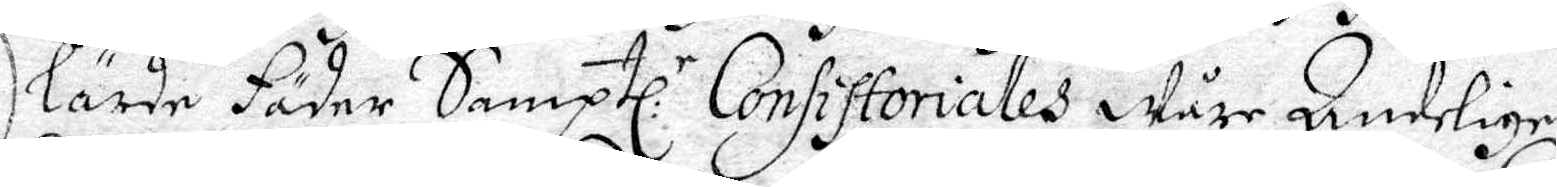lärde Fäder Samptl.n Consissoriales Wåre Andelige
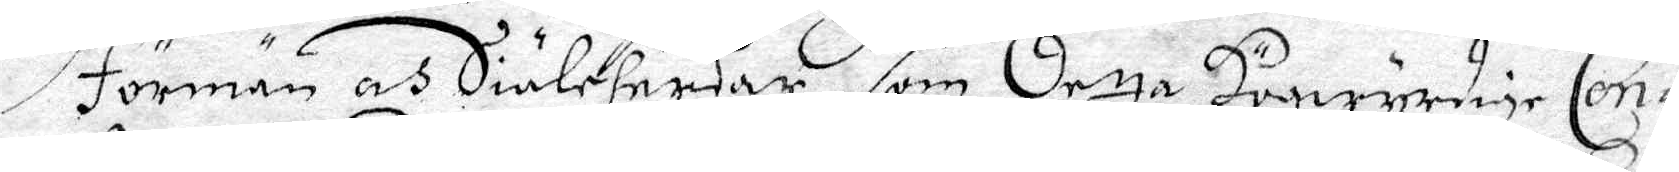förmän oh Siäleherdar, som detta Högwyrdige Con¬
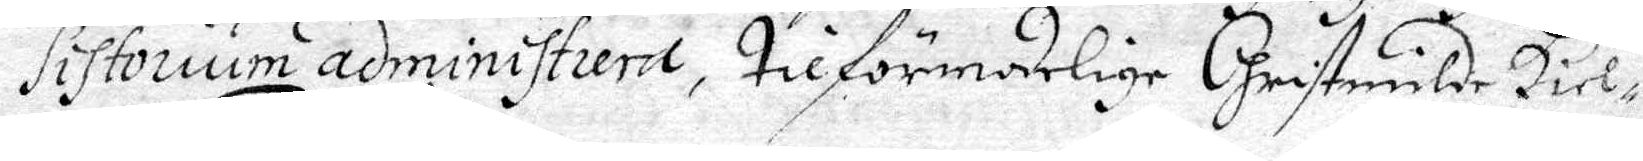Sistorium administuera, tilförmodelige Cristmilde Hiel¬
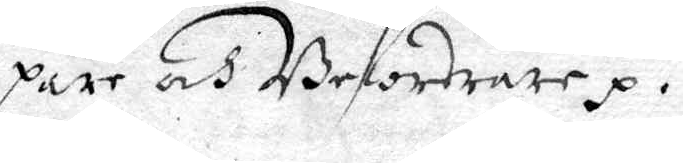pare och Befordrare.
